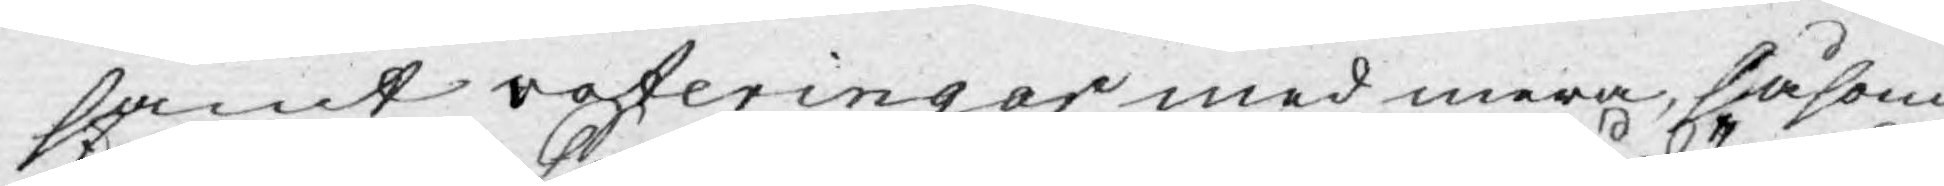samt voteringar med mera, såsom
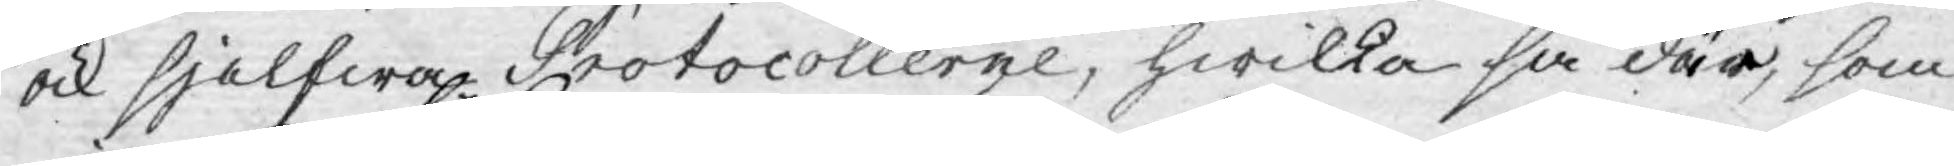ock sjelfwa Protocollerne, hwilka så där, som
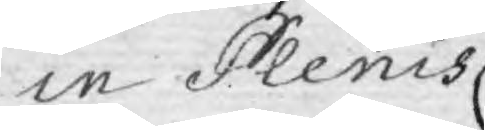in Plenis
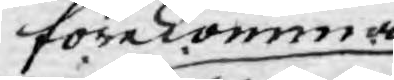förekomma
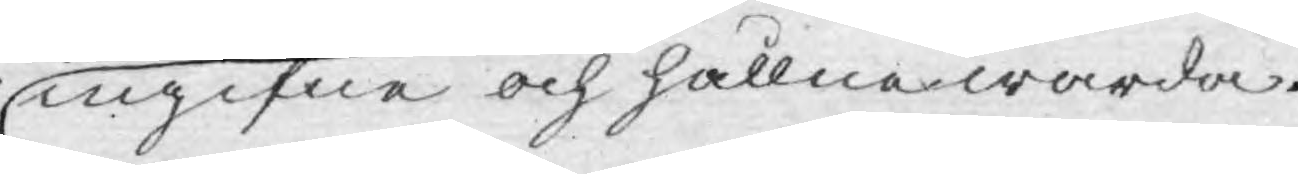ingifne och hållne warda.
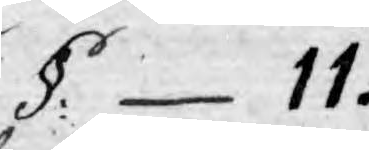§: 11.
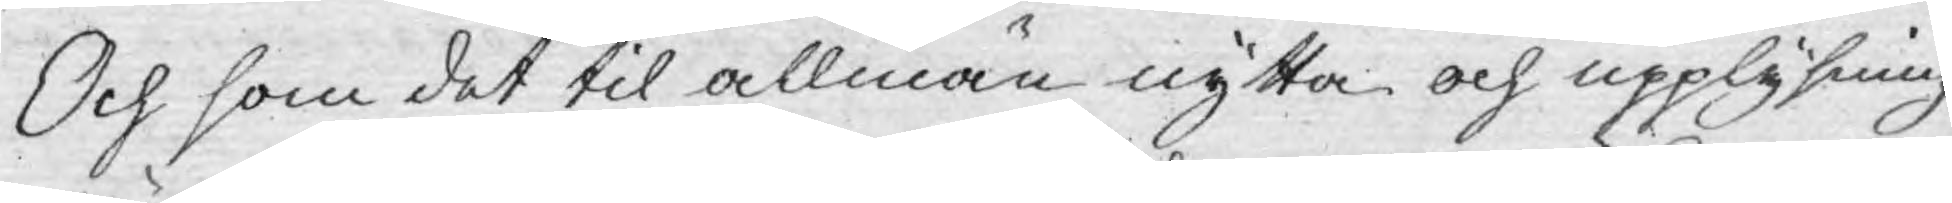Och som det til allmän nytta och upplysning
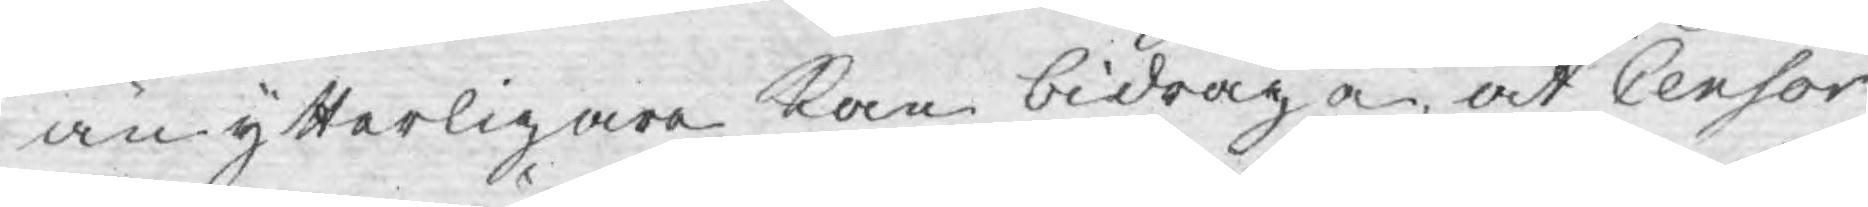än ytterligare kan bidraga, at Censor
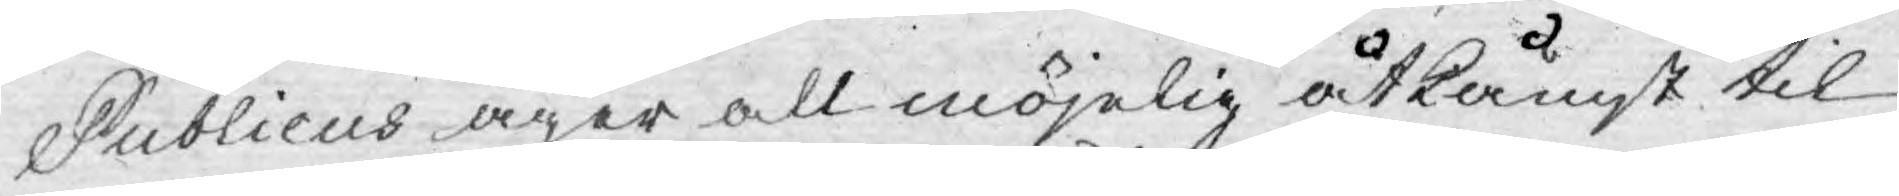Publicus äger all möjelig åtkåmst til
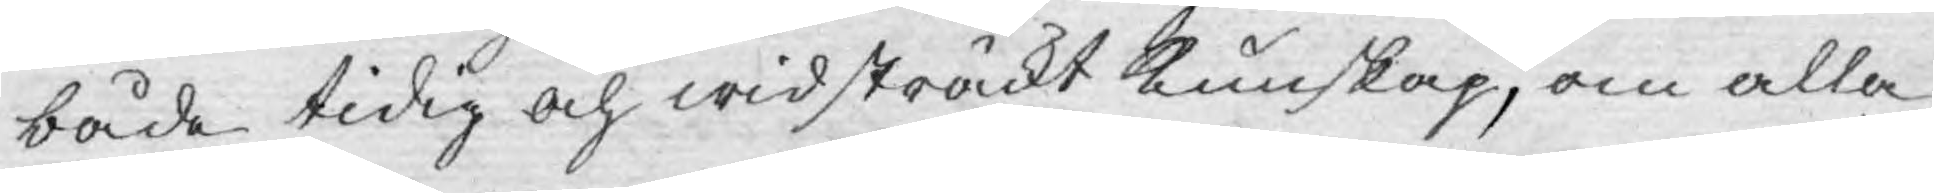både tidig och widsträckt kunskap, om alla
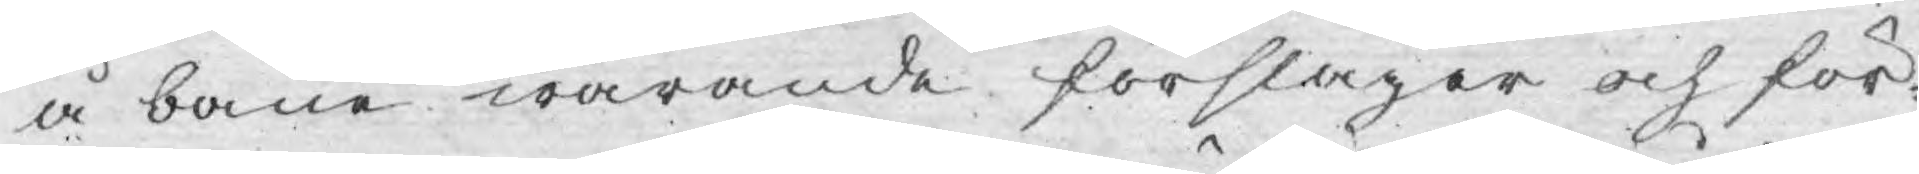å bane warande förslager och för¬
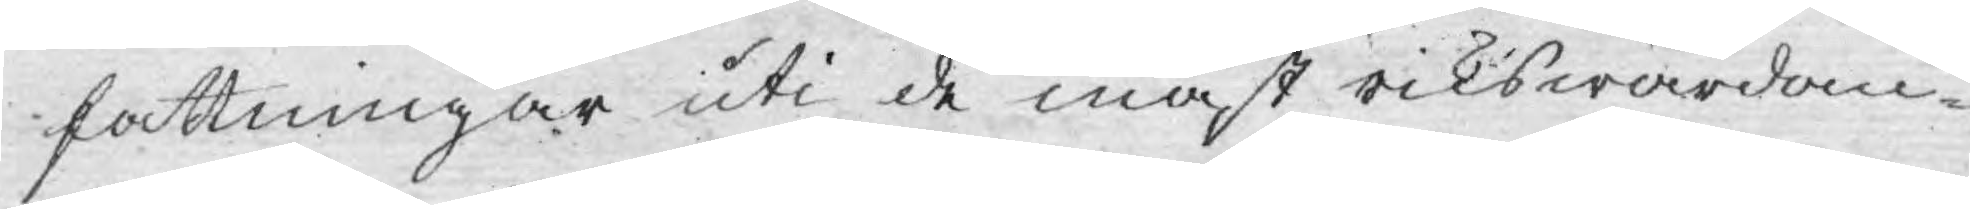fattningar uti de mäst rikswårdan¬
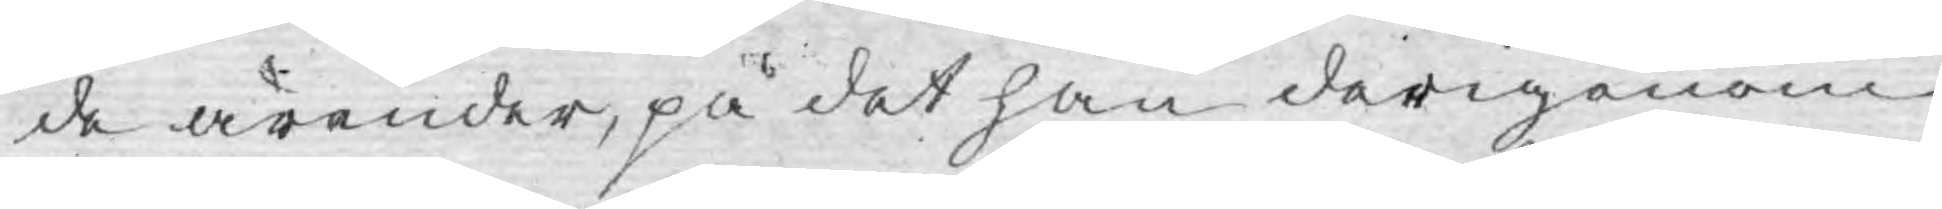de ärender, på det han derigenom
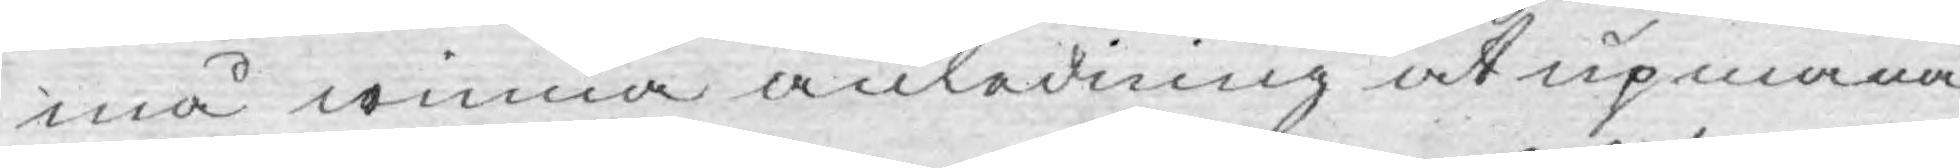må winna anledning at upmana
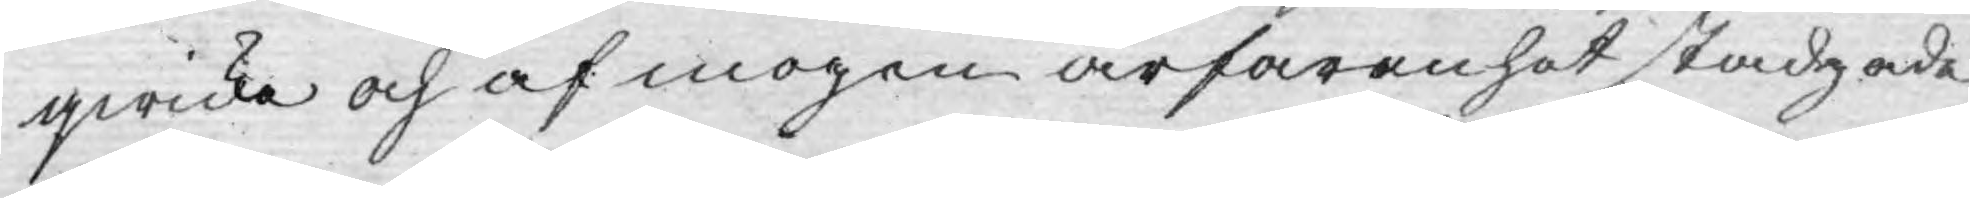qwicka och af mogen ärfaranhet stadgade
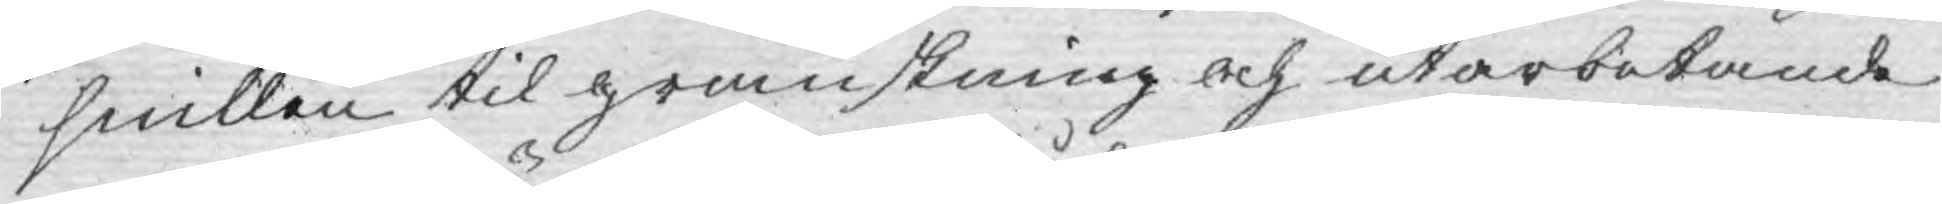snillen til granskning och utarbetande
